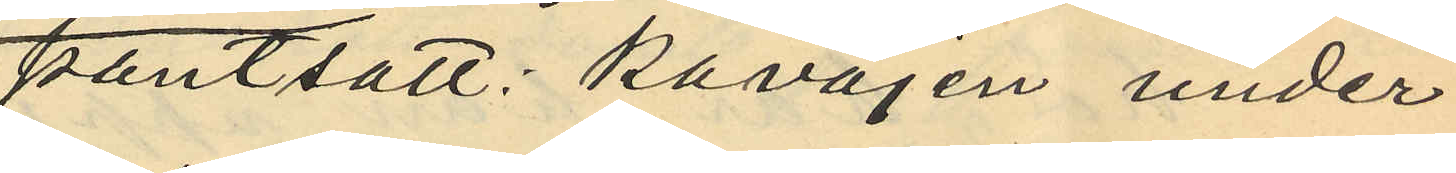pantsatt: "kavajen under
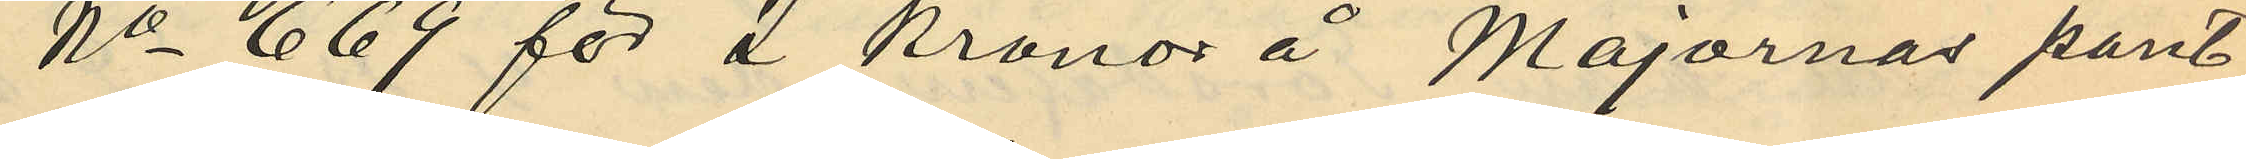No 669 för 2 kronor å Majornas pant¬
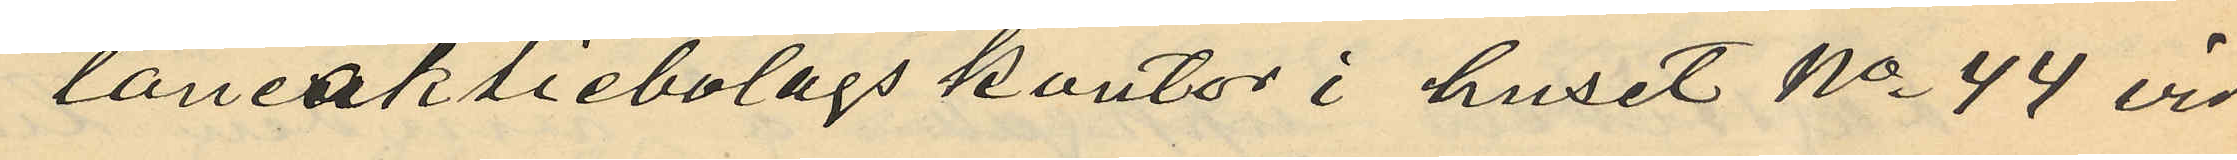låneaktiebolags kontor i huset No 44 vid
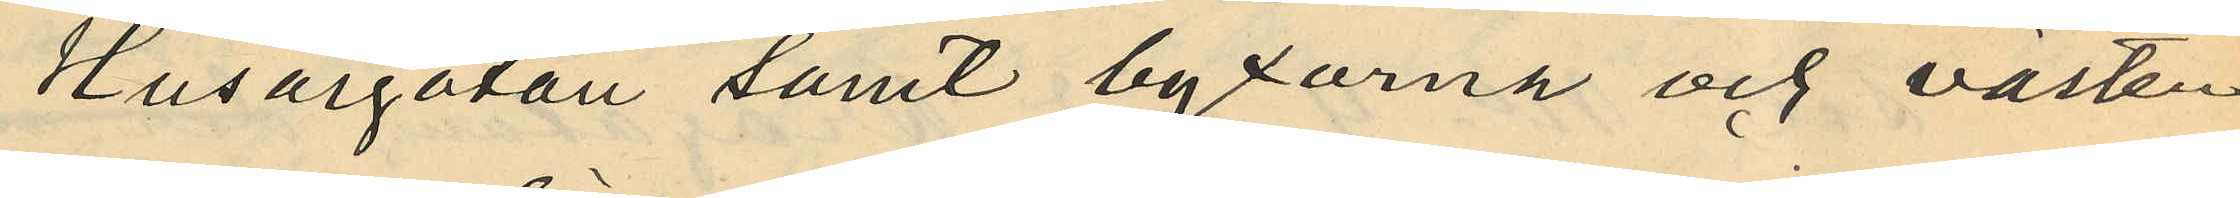Husargatan samt byxorna och västen
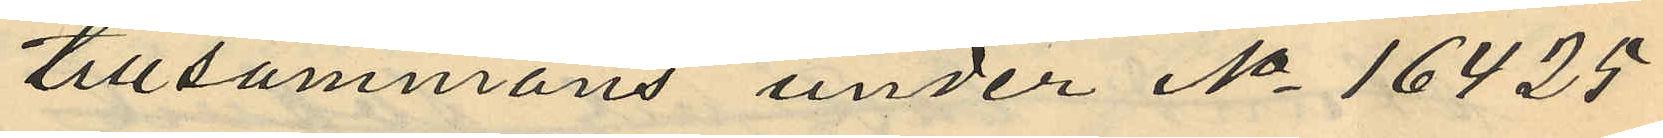tillsammans under No 16425
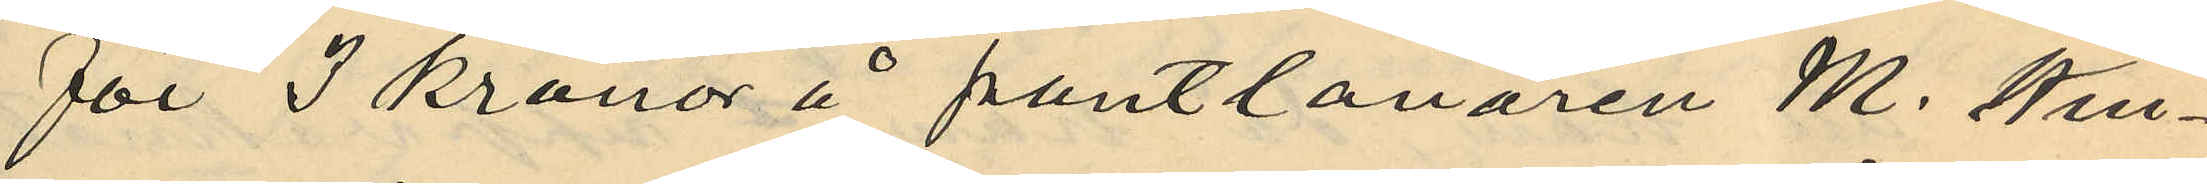för 3 kronor å pantlånaren M. Kvi¬
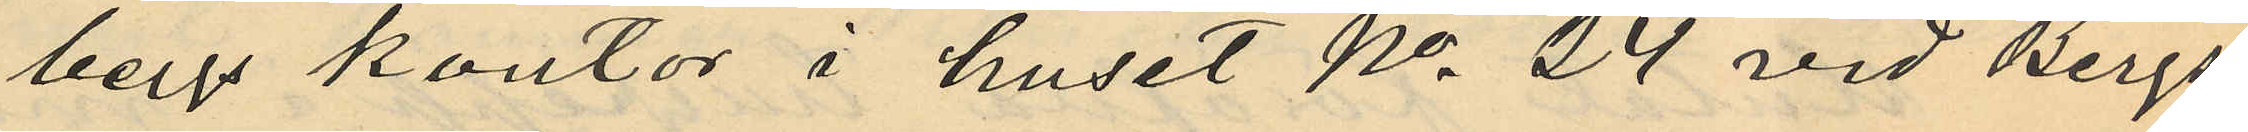bergs kontor i huset No 24 vid Bergs¬
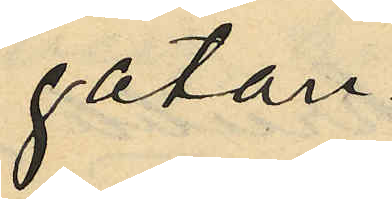gatan.
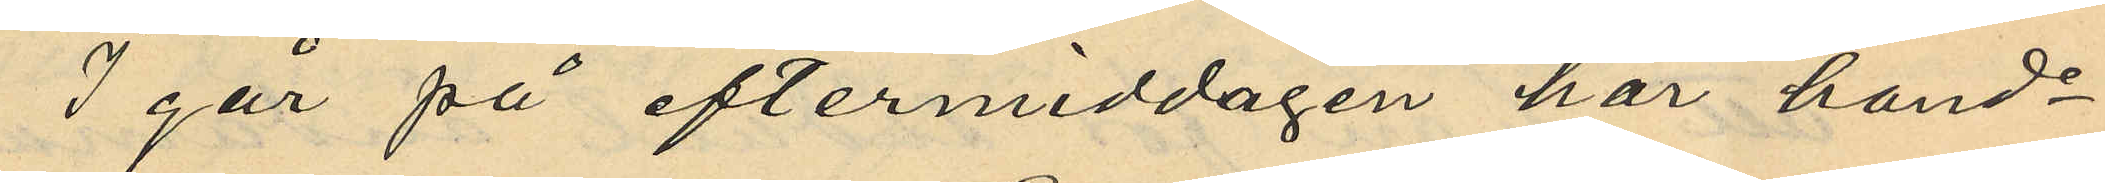I går på eftermiddagen har hand¬
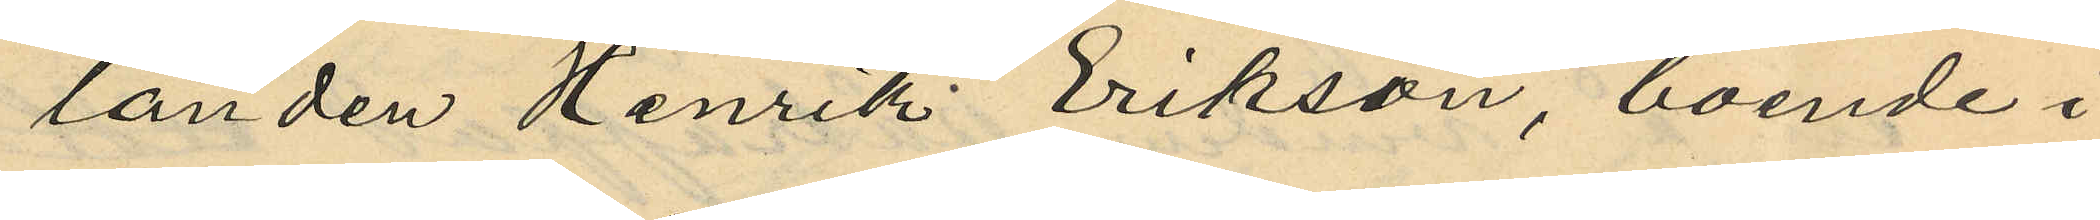landen Henrik Erikson, boende i
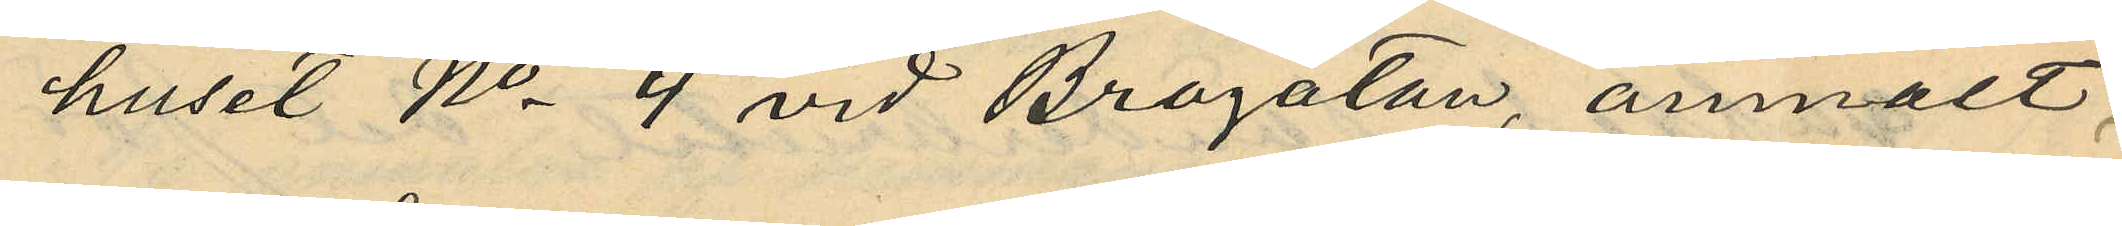huset No 4 vid Brogatan, anmält,
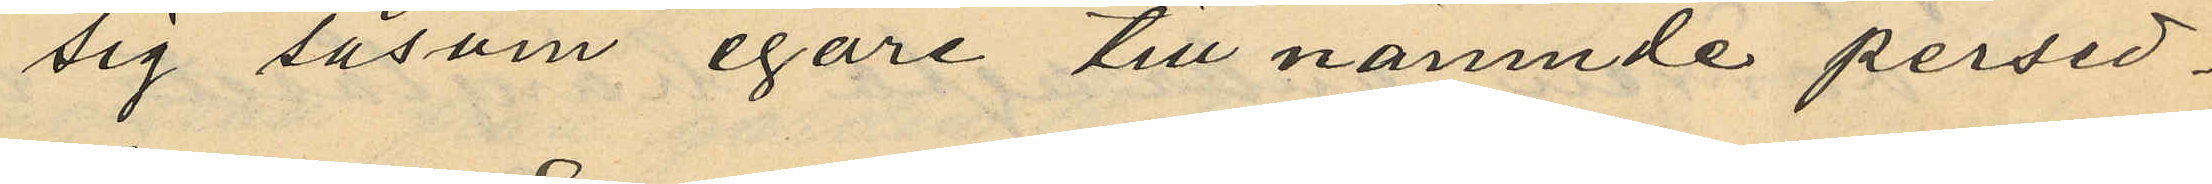sig såsom egare till nämnde persed¬
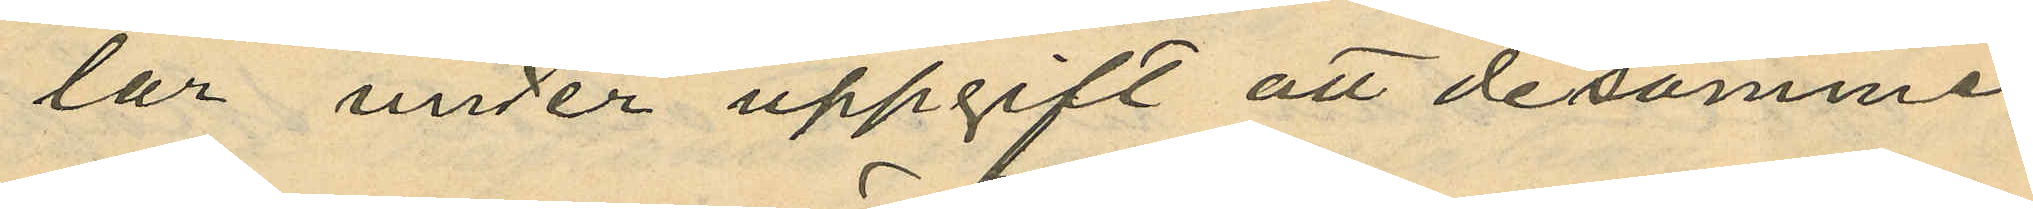lar under uppgift att desamme,
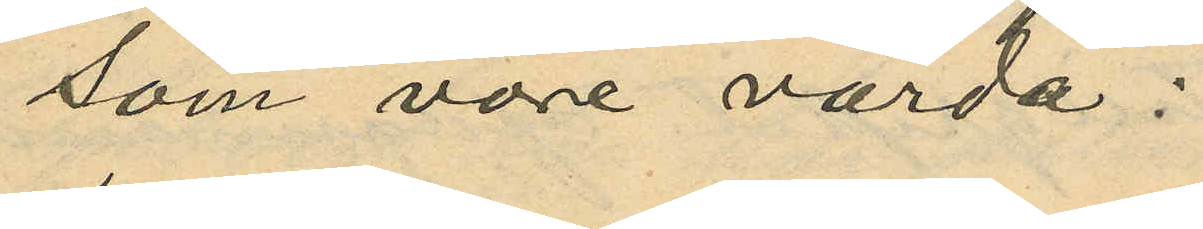som vore värda:
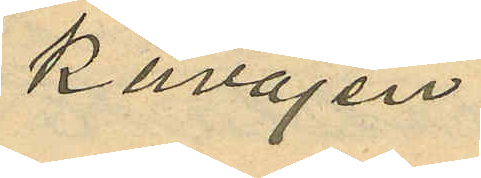kavajen
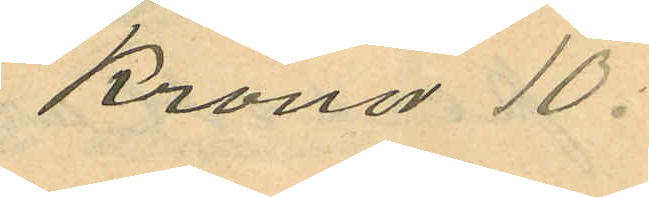Kronor 10:
